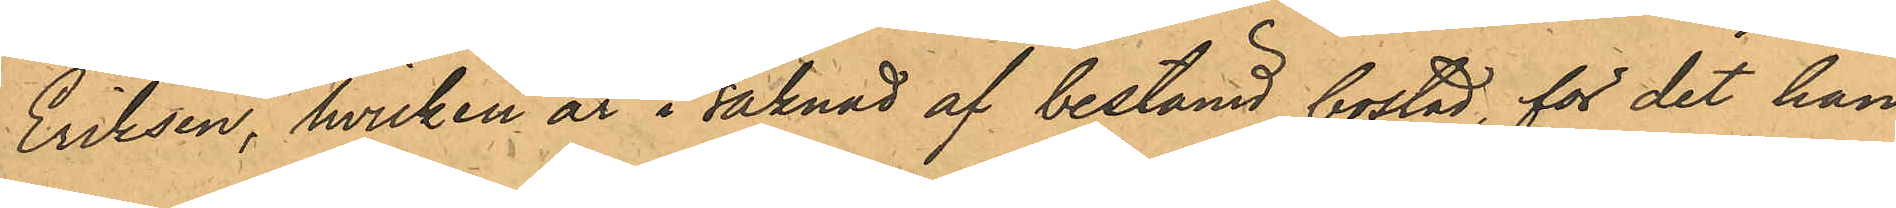Eriksen, hvilken är i saknad af bestämd bostad, för det han
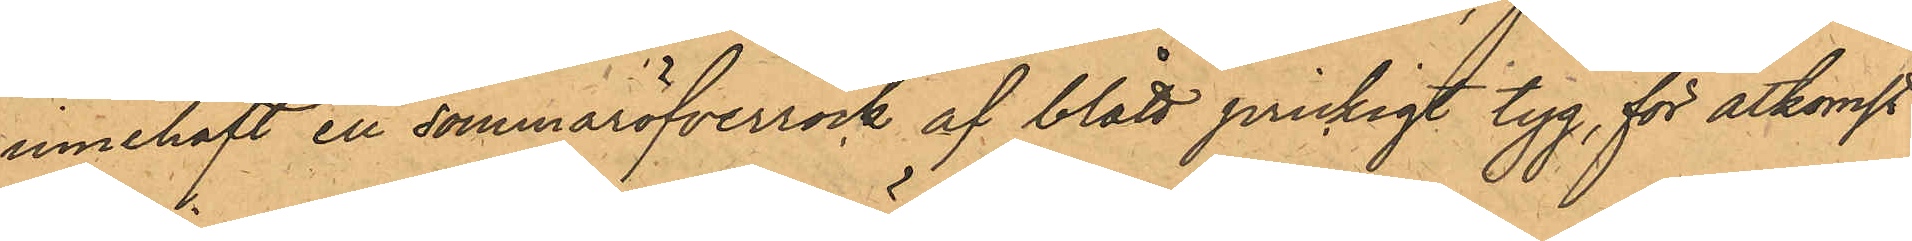innehaft en sommaröfverrock af blått prickigt tyg, för åtkomst
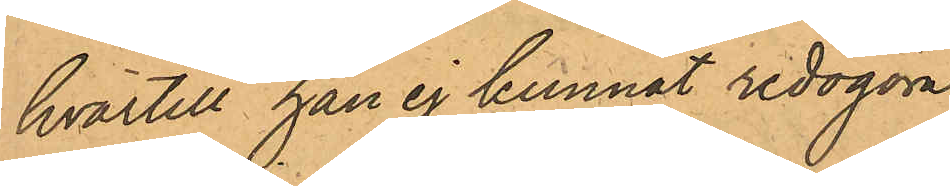hvartill han ej kunnat redogöra.
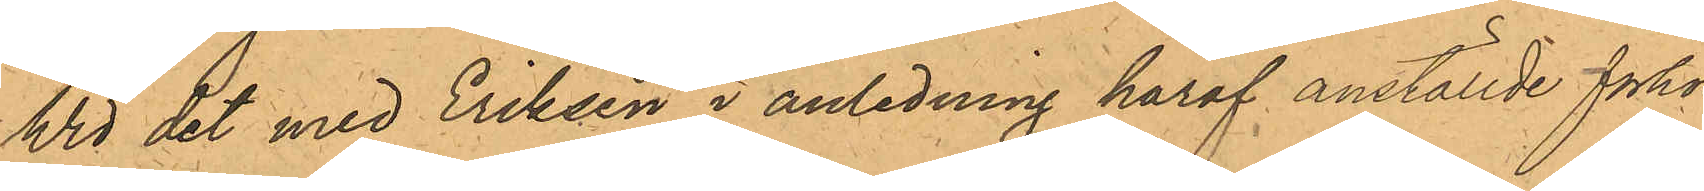Wid det med Eriksen i anledning häraf anställde förhör
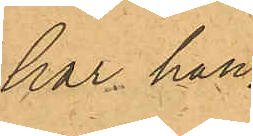har han
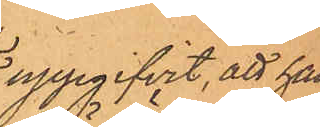uppgifvit, att han,
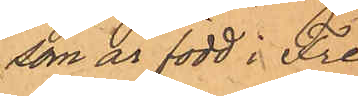som är född i Fre¬
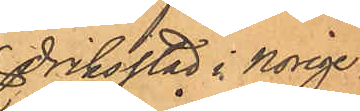driksstad i Norige;
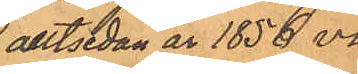alltsidan år 1856 vi¬
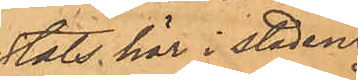stats här i staden
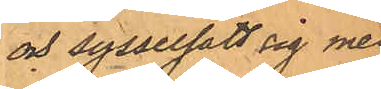och sysselsatt sig med
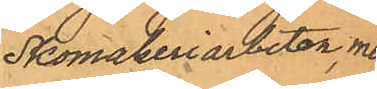Skomakeriarbeten, men
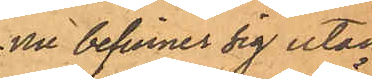nu befinner sig utan
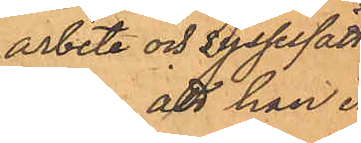arbete och sysselsätt¬
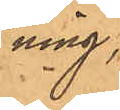ning;
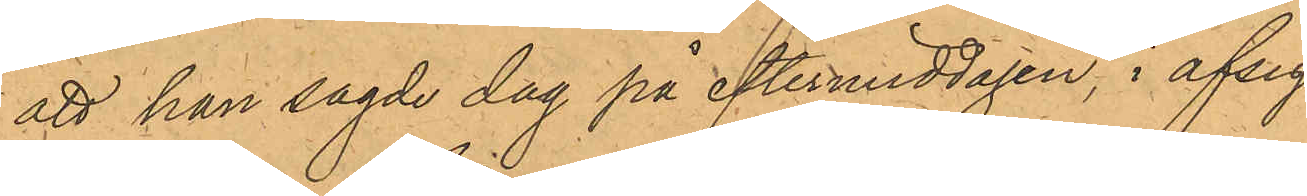att han sagde dag på eftermiddagen, i afsigt
